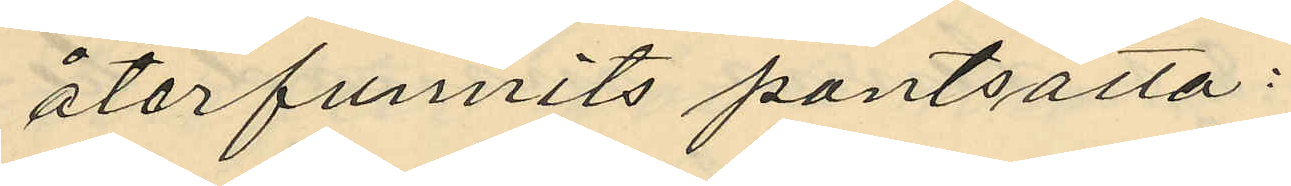återfunnits pantsatta:
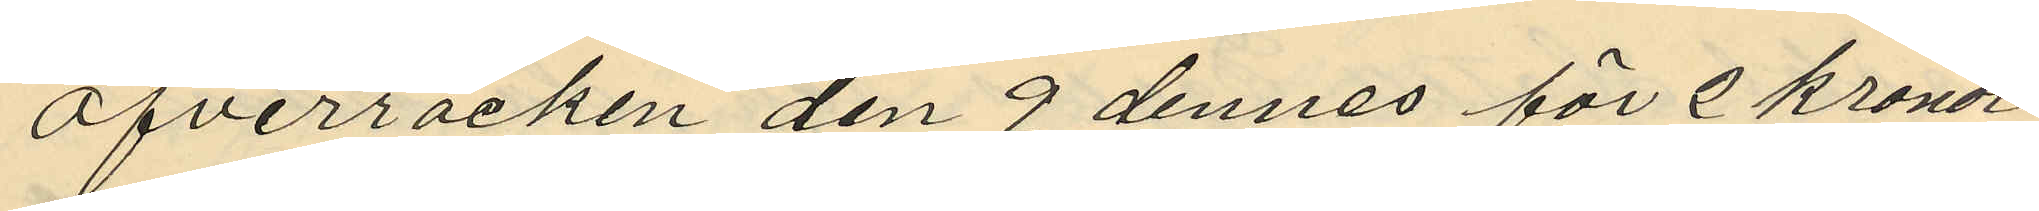Öfverrocken den 9 dennes för 2 kronor
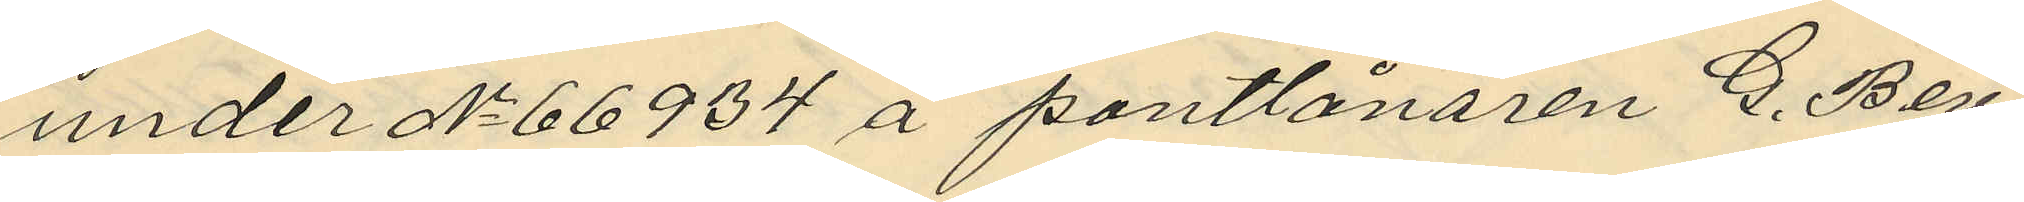under No 66934 å pantlånaren G. Berg
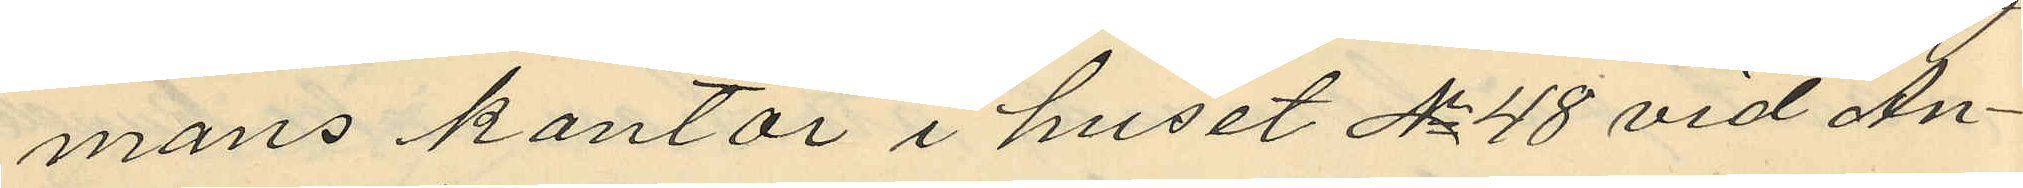mans kontor i huset No 48 vid An¬
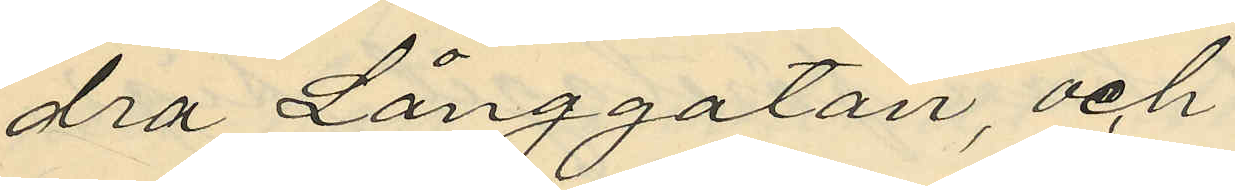dra Långgatan, och
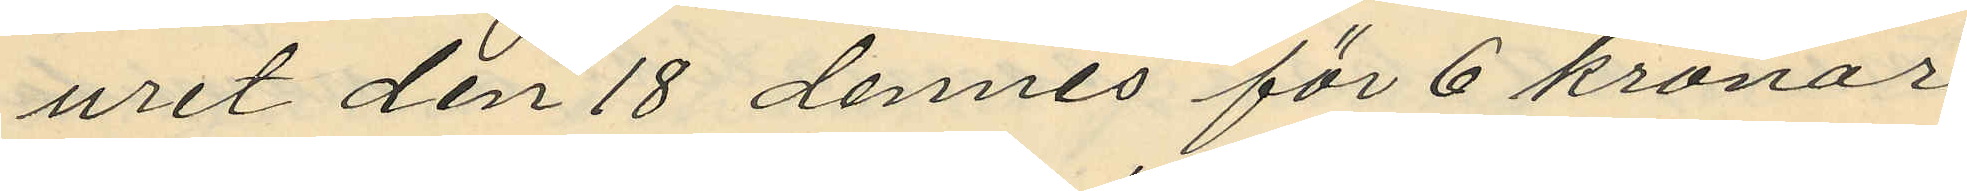uret den 18 dennes för 6 kronor
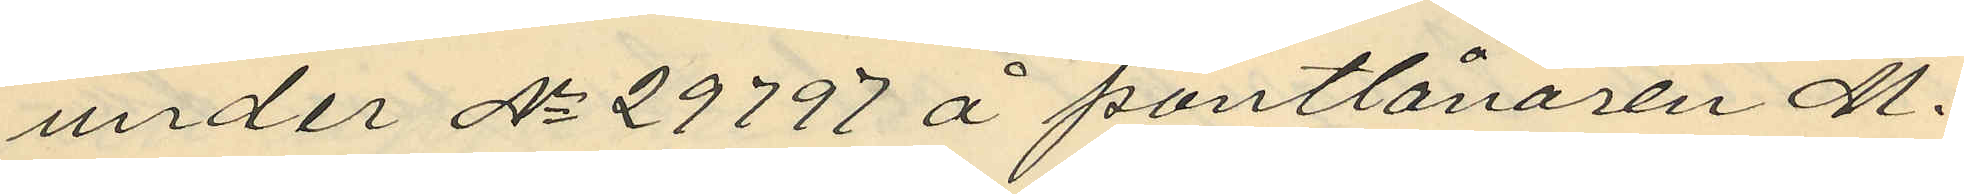under No 29797 å pantlånaren M.
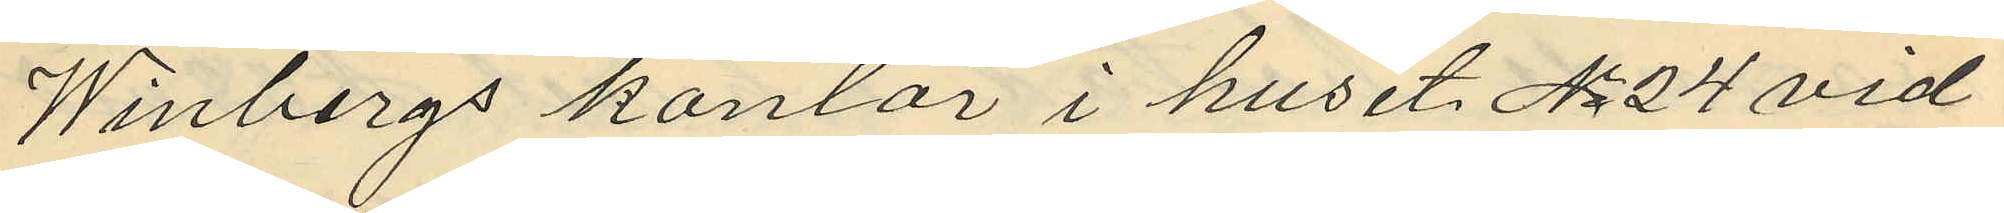Winbergs kontor i huset No 24 vid
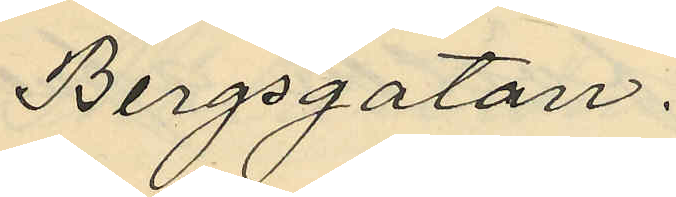Bergsgatan.
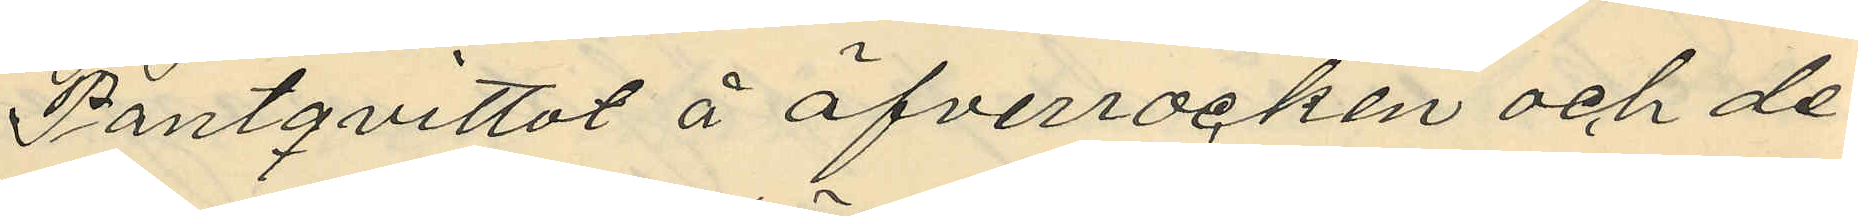Pantqvittot å öfverrocken och de
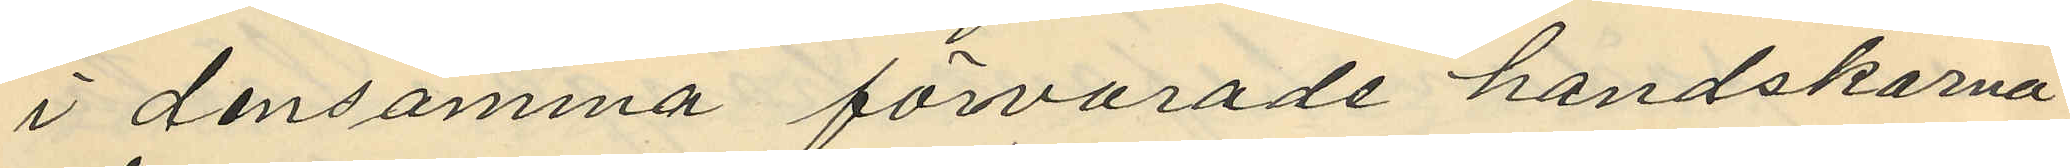i densamma förvarade handskarna
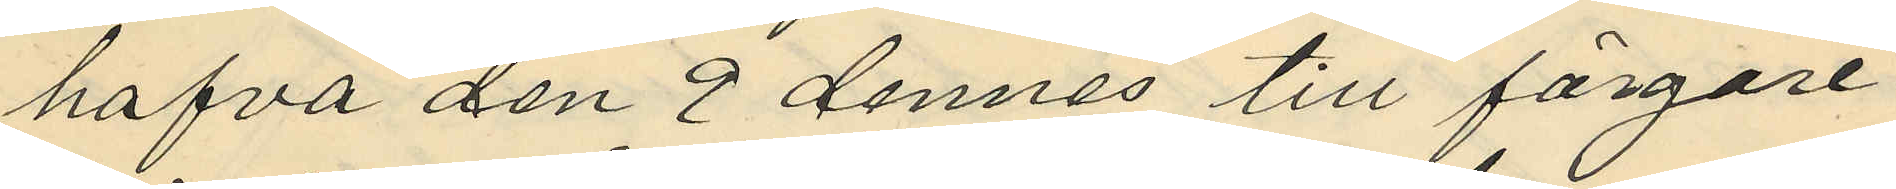hafva den 9 dennes till färgare¬
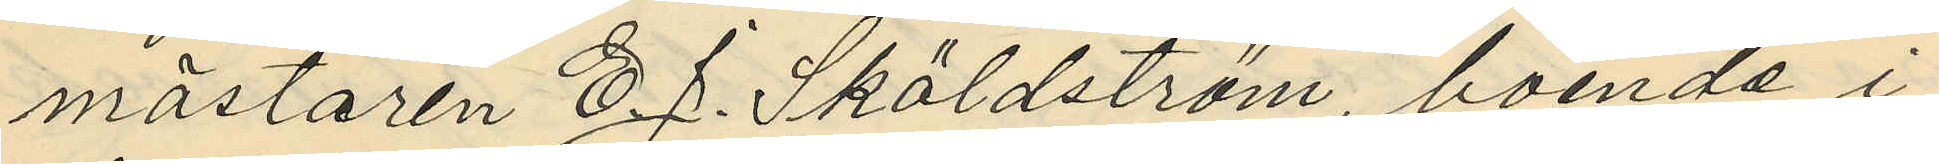mästaren C. J. Sköldström, boende i
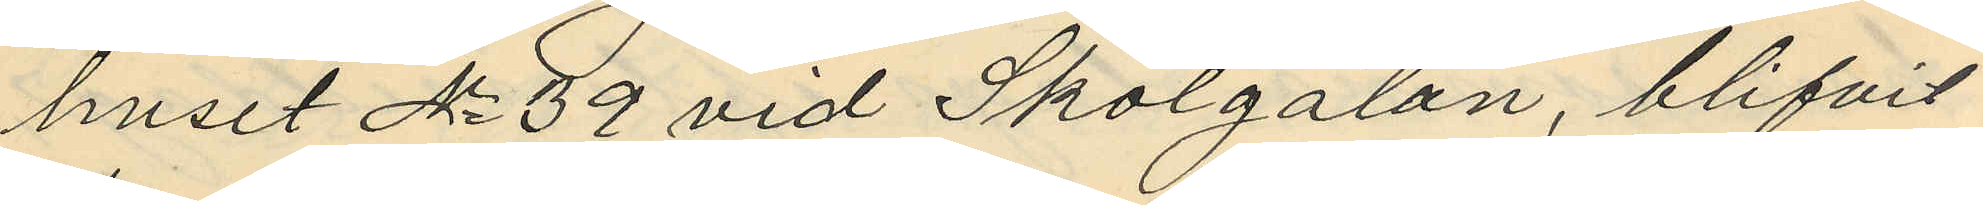huset No 39 vid Skolgatan, blifvit
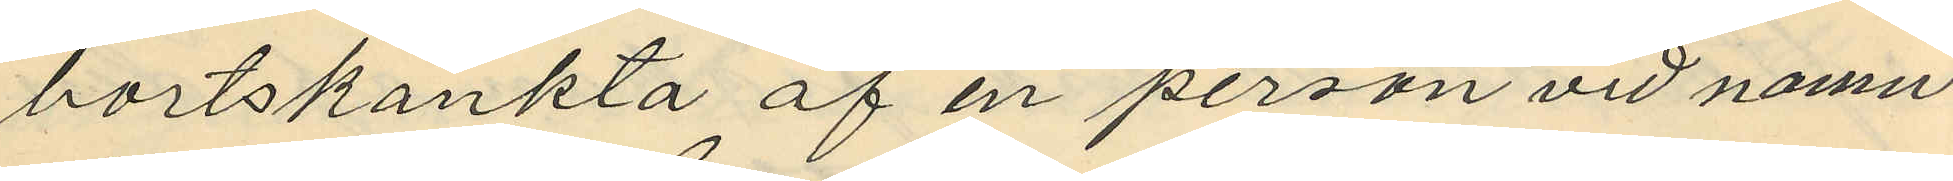bortskänkta af en person vid namn
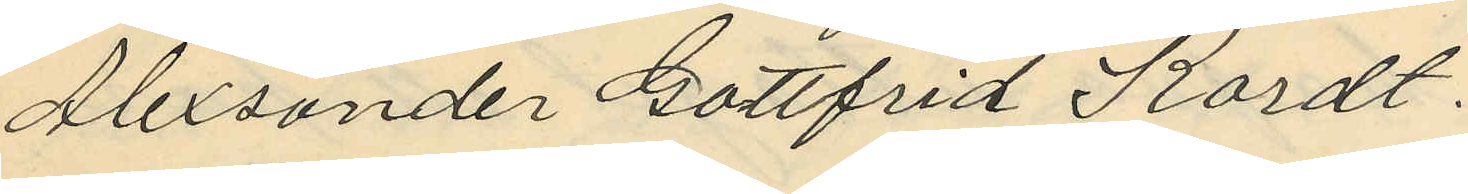Alexsander Gottfrid Kordt.
